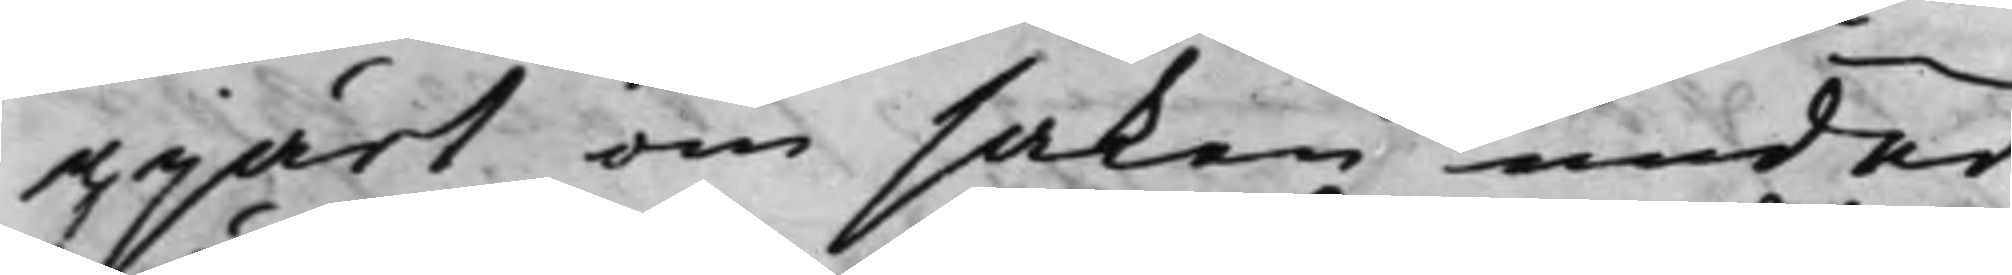gjärt om saken under¬
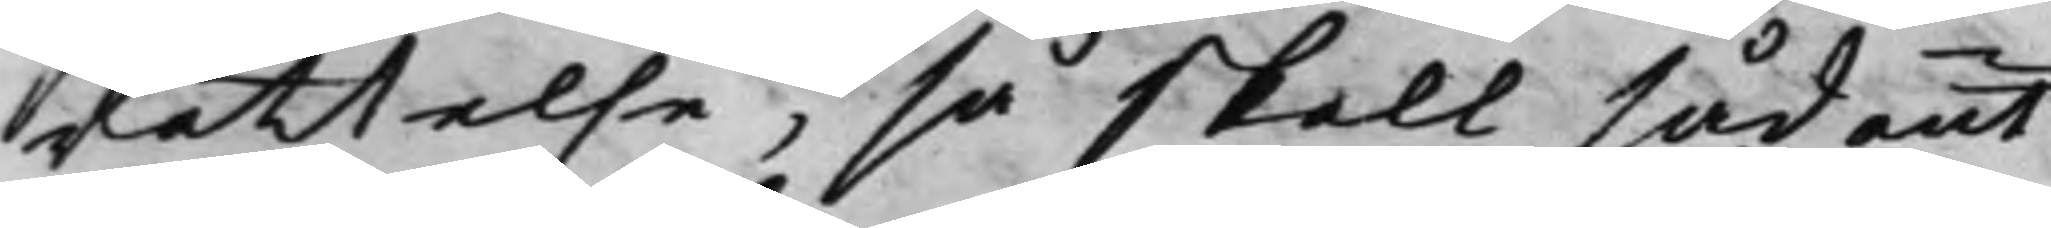rättelse, så skall sådant
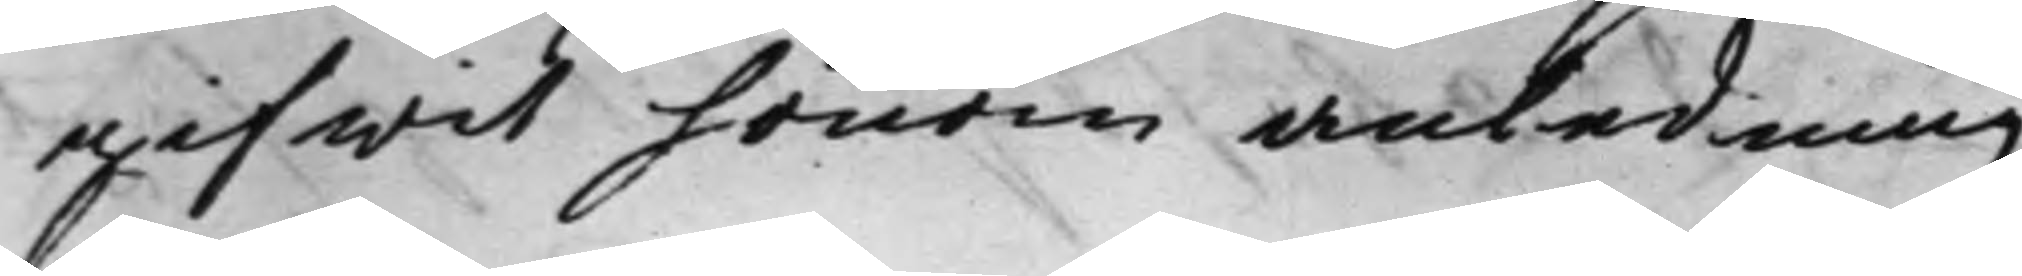gifwit honom anledning
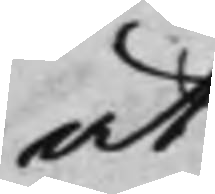at
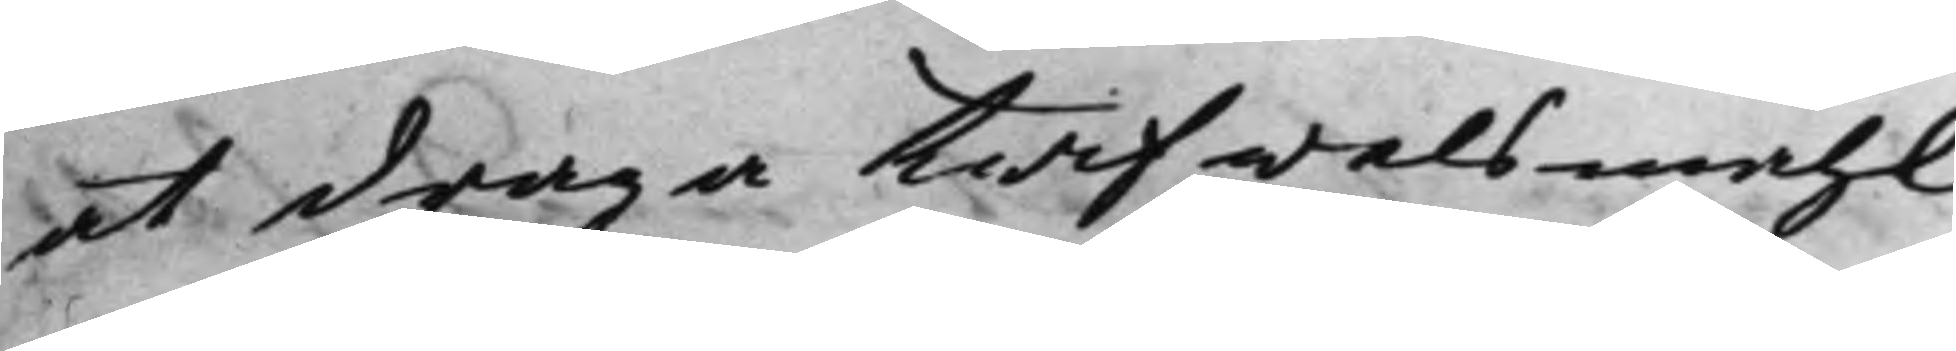at draga twifwelsmåhl
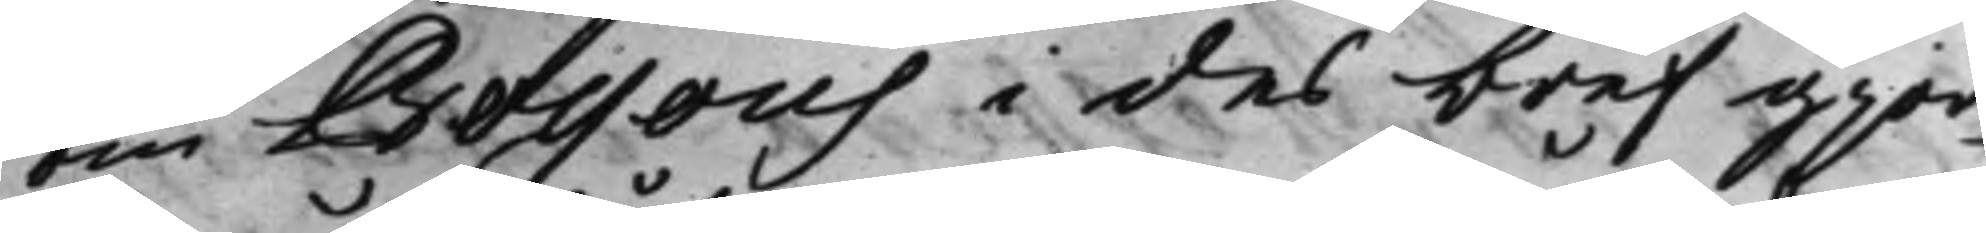om Bossous i des bref gjor¬
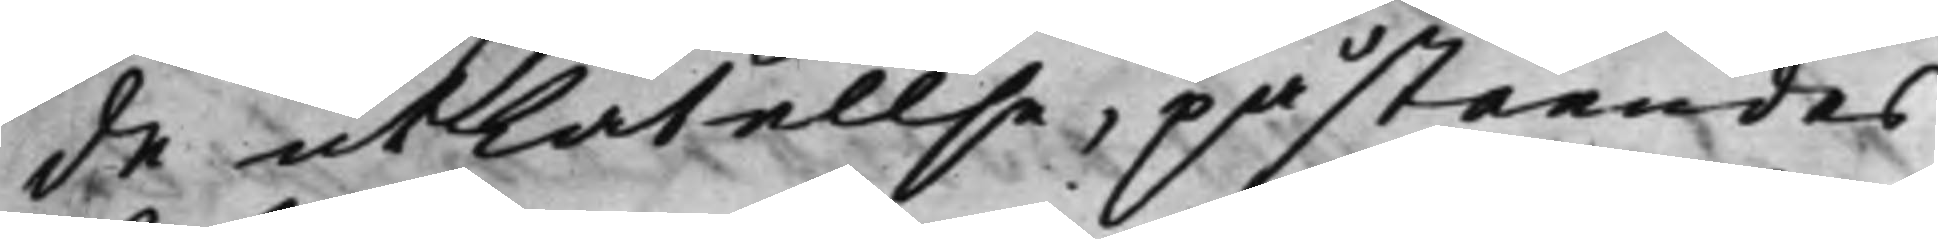de utlåtelse, påståendes
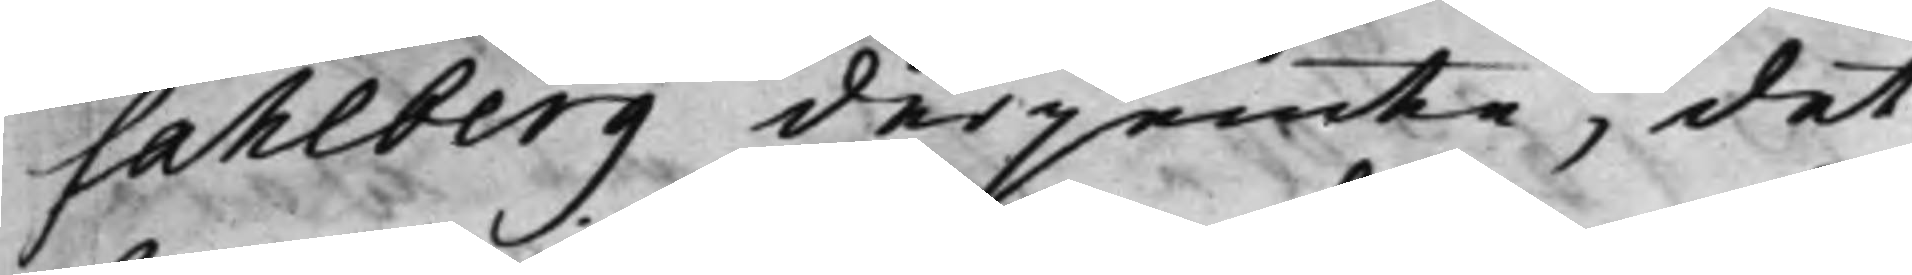Sahlberg derjemte, det
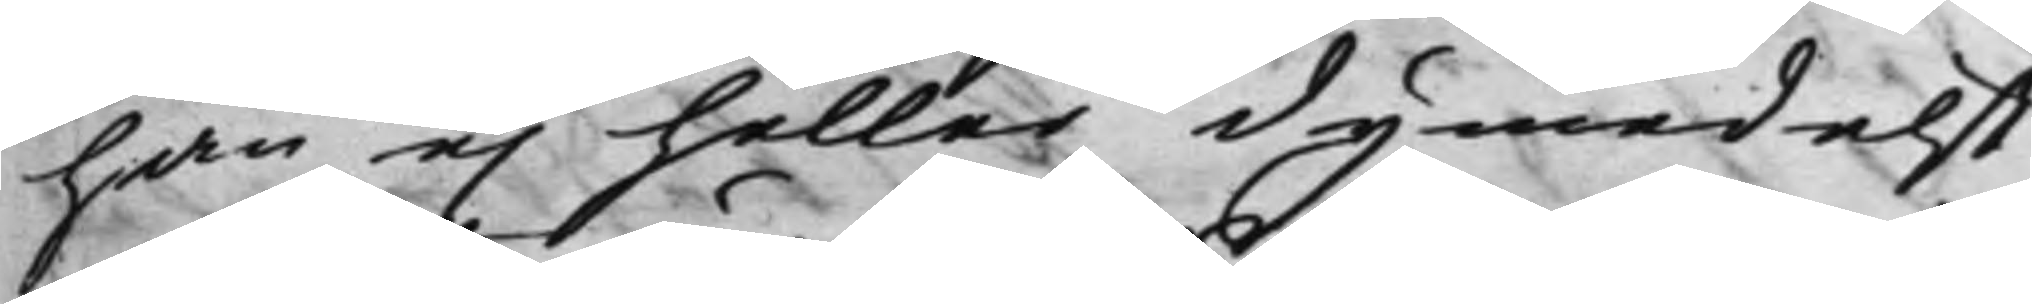han ej heller dymedelst
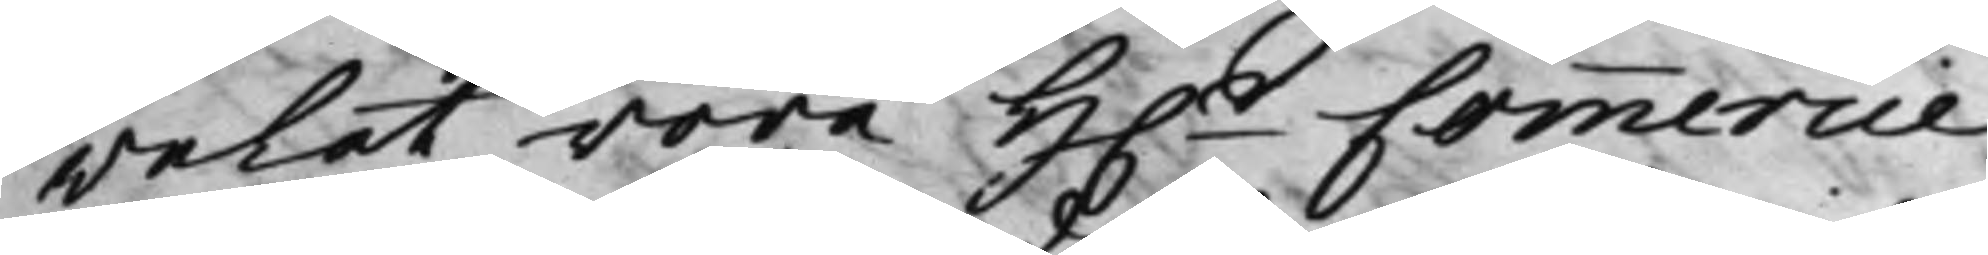welat röra H.r Commercie¬
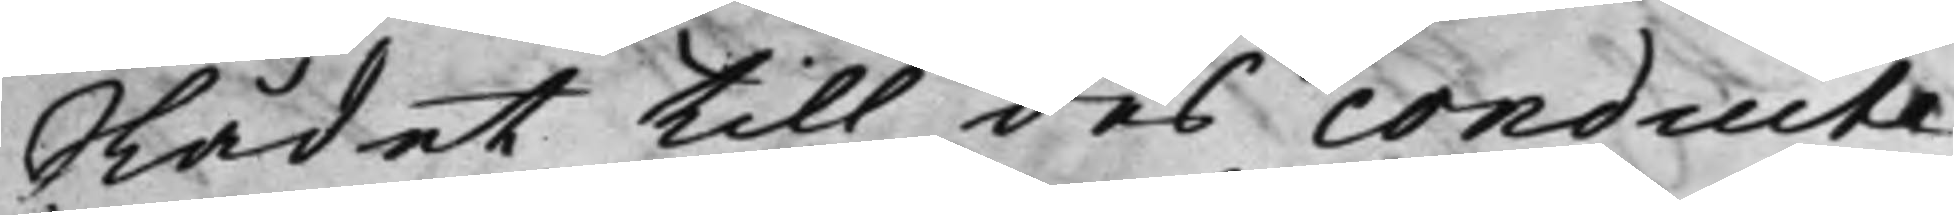Rådet till des conduite
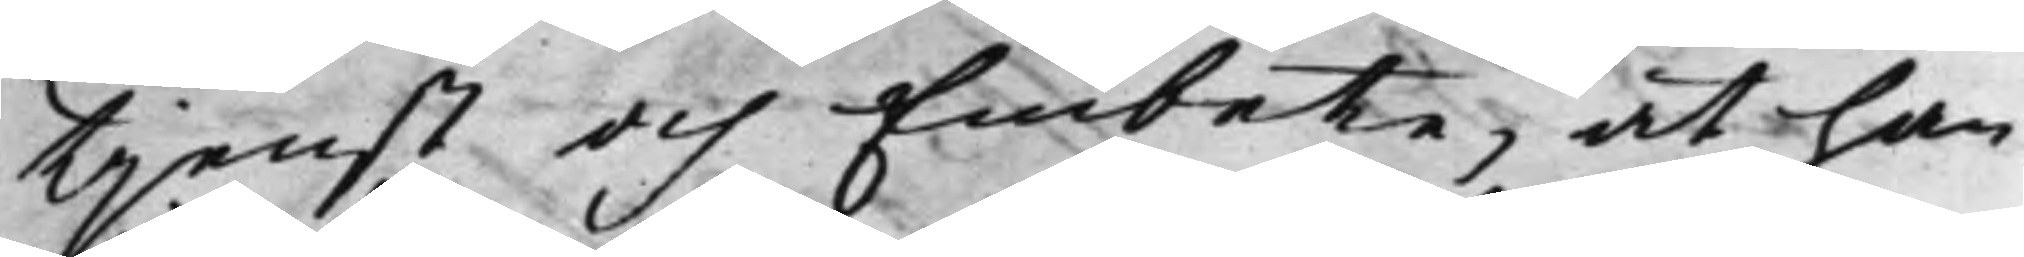tjenst och Embete, at han
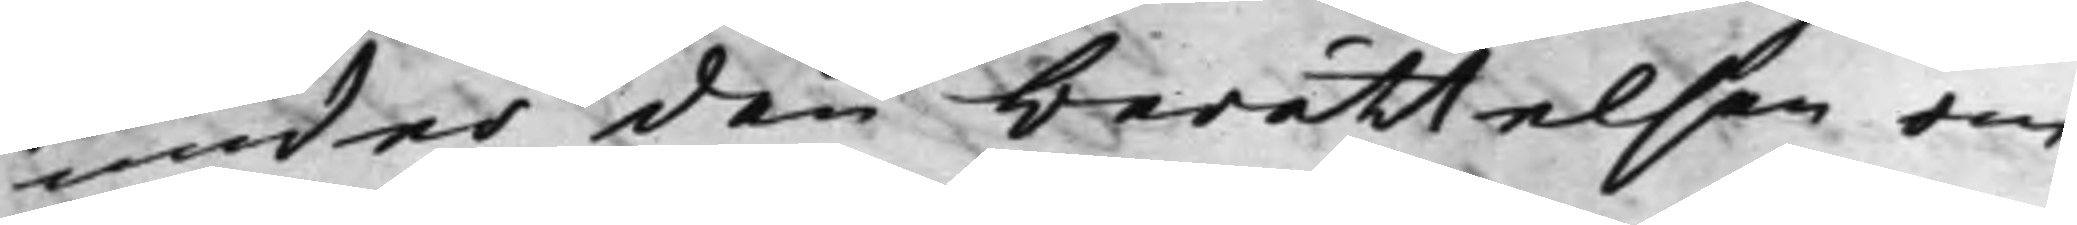under den berättelsen om
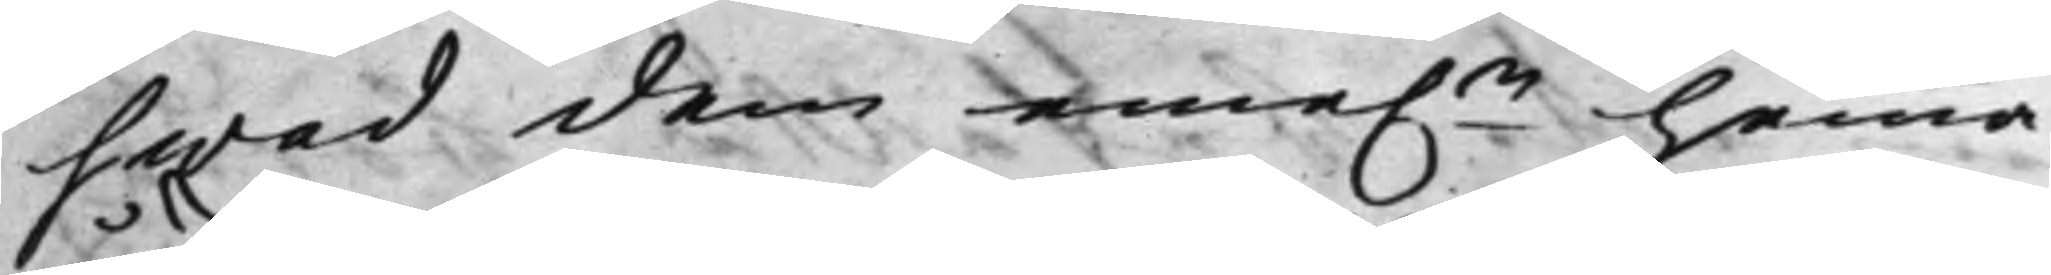hwad dem eme.n hemma
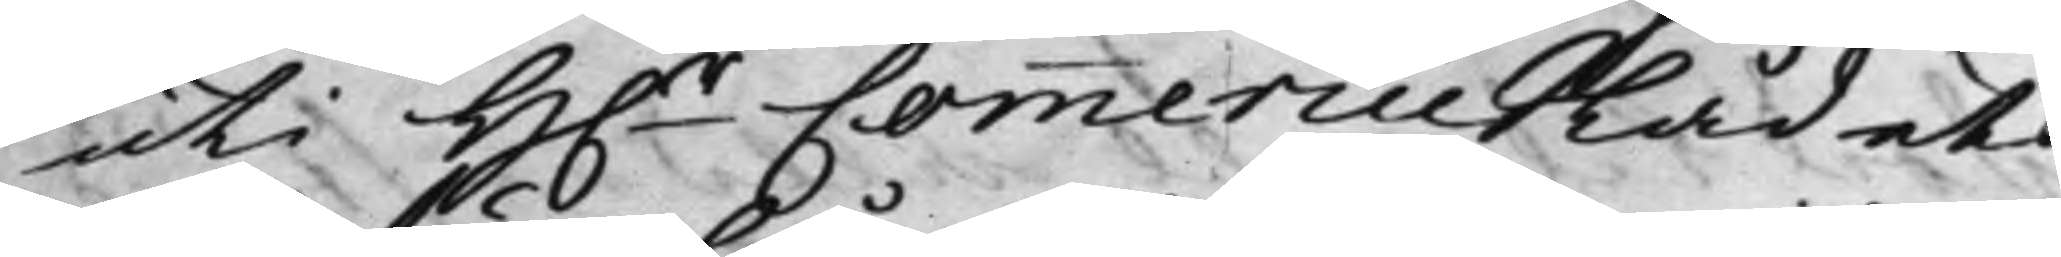uti H.r CommercieRådets
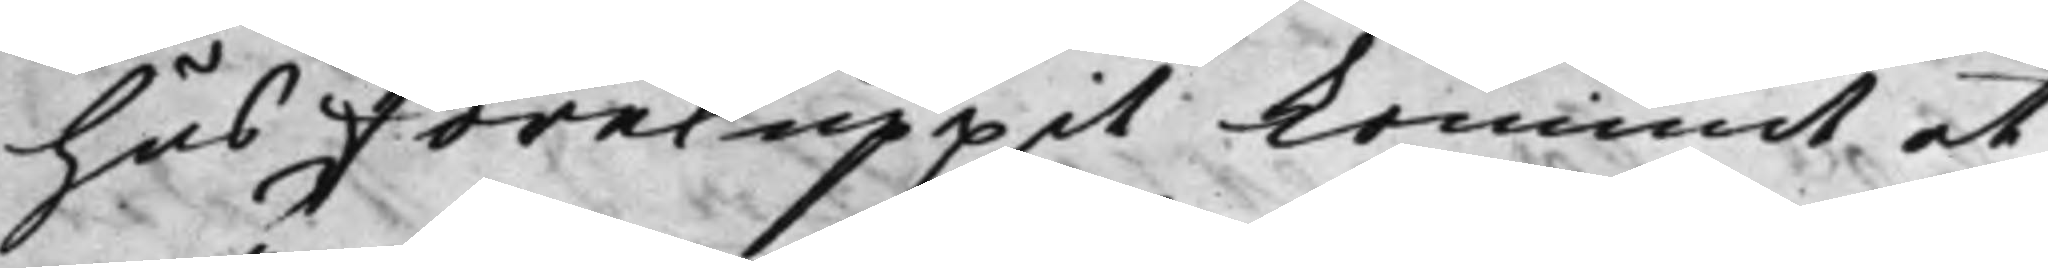hus föreluppet kommit at
